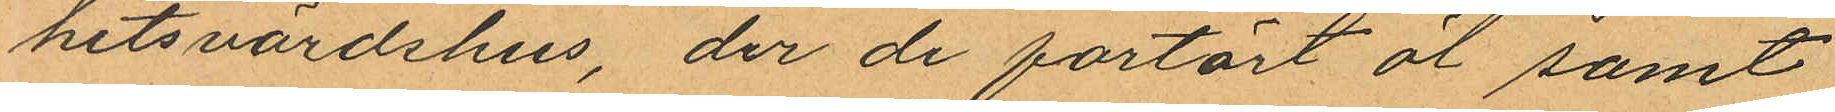hetsvärdshus, der de förtärt öl samt
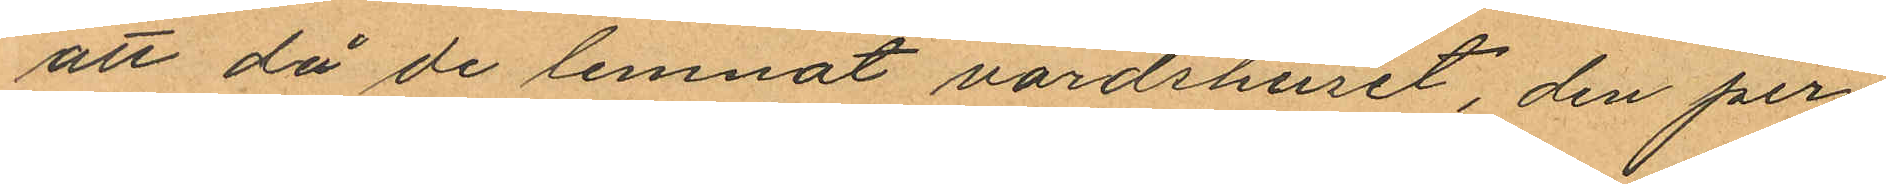att då de lemnat värdshuset, den per¬
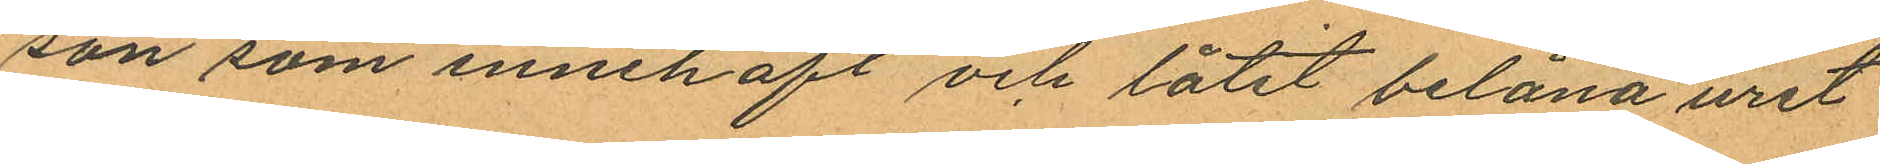son som innehaft och låtit belåna uret
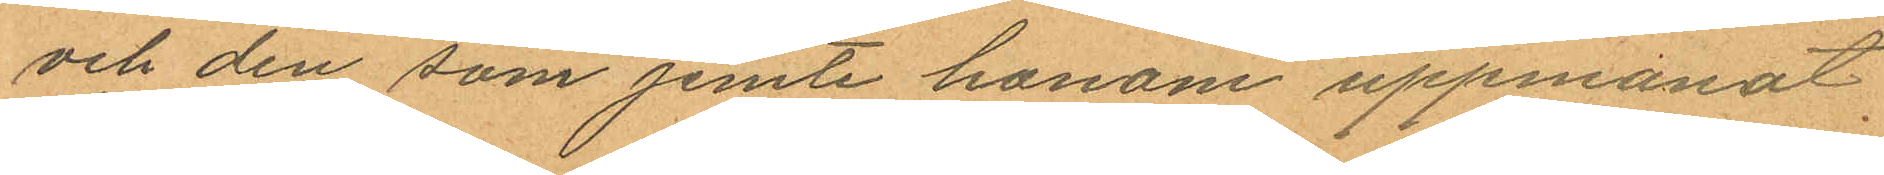och den som jemte honom uppmanat
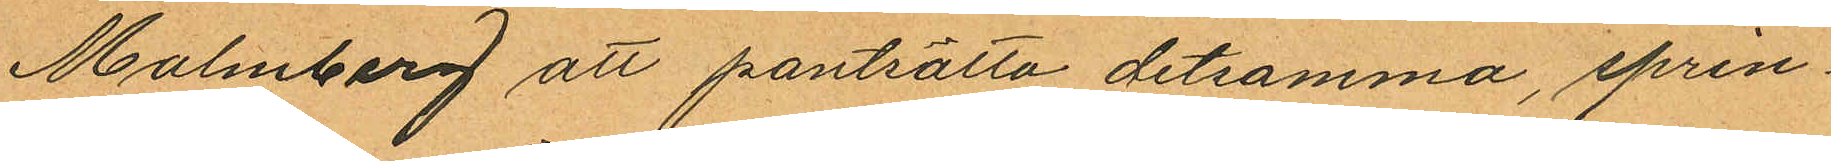Malmborg att pantsätta detsamma, sprin¬
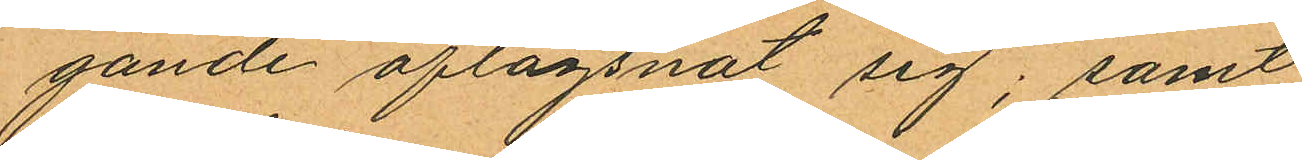gande aflägsnat sig; samt
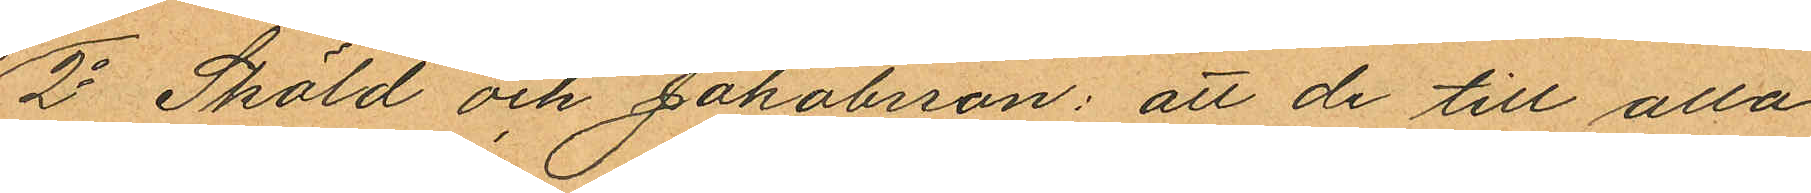2o Sköld och Jakobsson: att de till alla
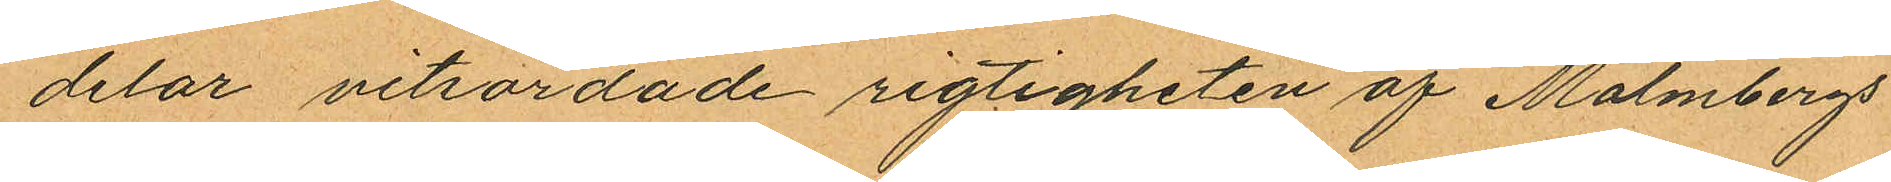delar vitsordade rigtigheten af Malmbergs
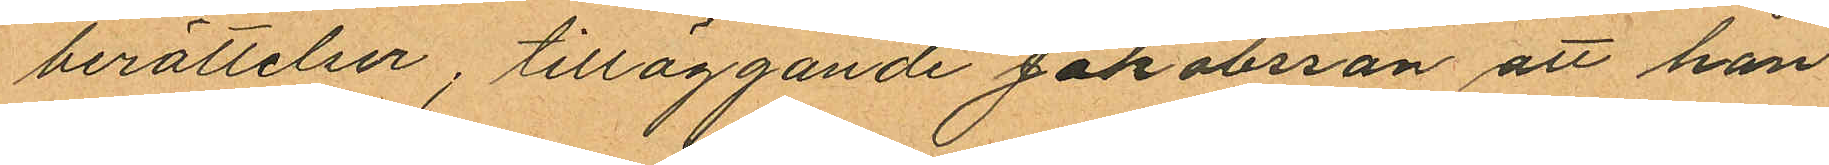berättelser; tilläggande Jakobsson att han
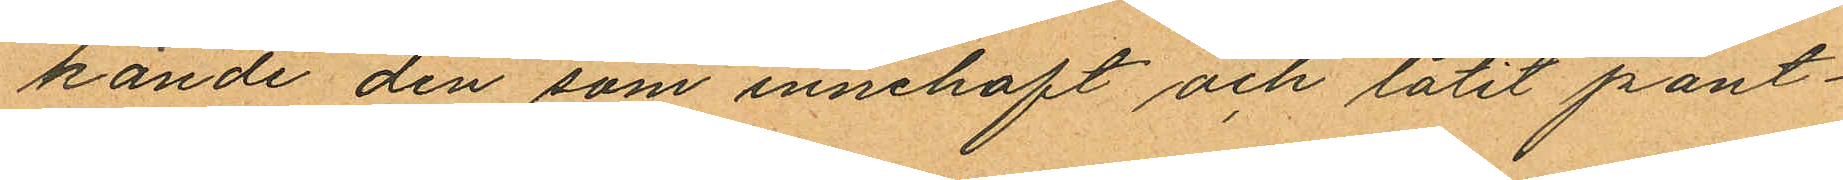kände den som innehaft och låtit pant¬
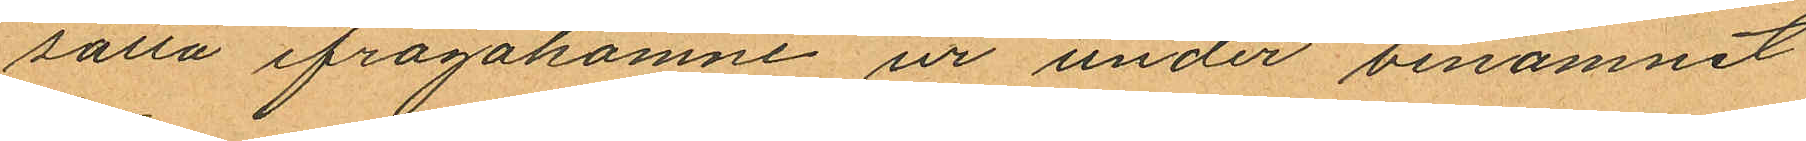sätta ifrågakomne ur under binamnet
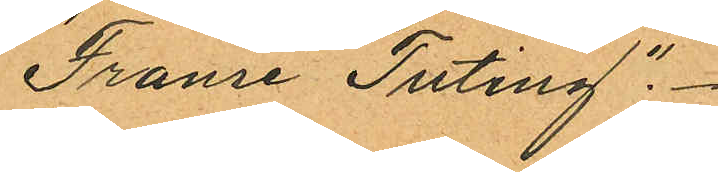"Franse Tuting".
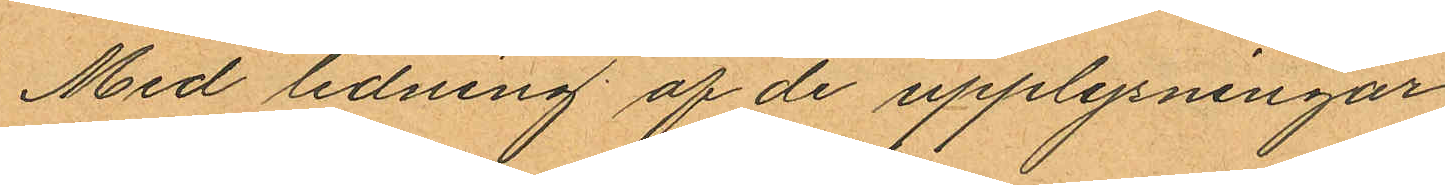Med ledning af de upplysningar
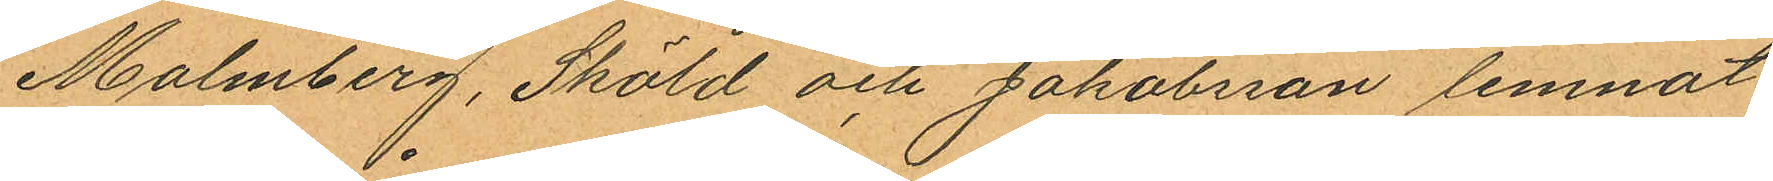Malmberg, Sköld och Jakobsson lemnat
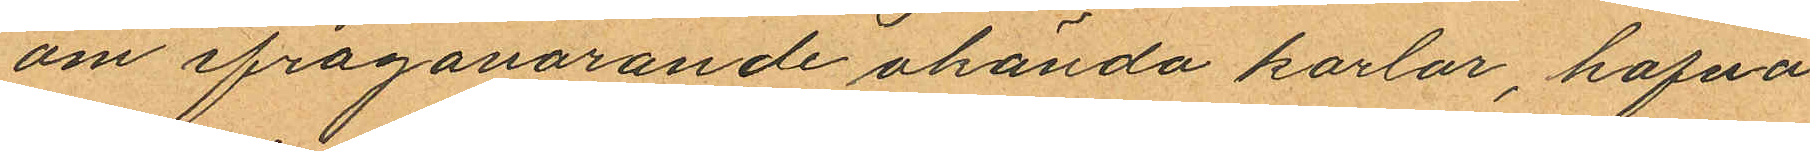om ifrågavarande okända karlar, hafva
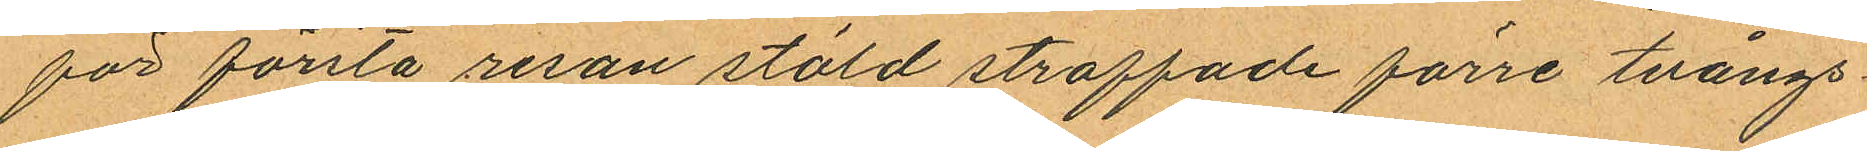för första resan stöld straffade förre tvångs¬
